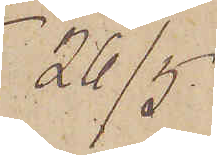26/5
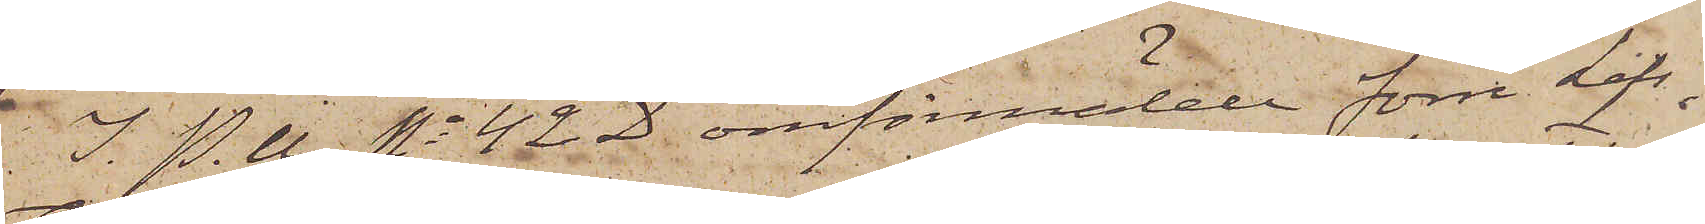I. P. U No 42 D omförmälde förre Lifs¬
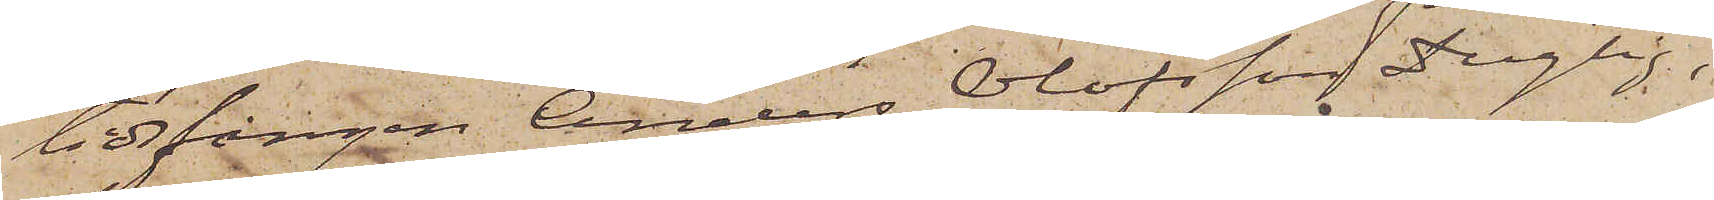tidsfången Anders Olofsson Dugtig,
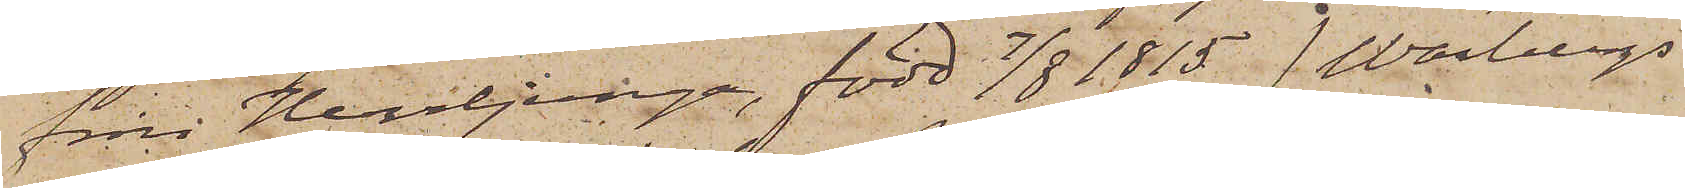från Herrljunga, född 7/8 1815 (Warbergs
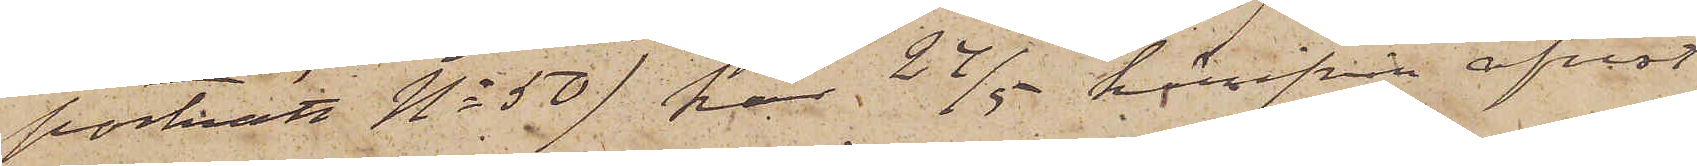porträtt No 50) har 24/5 härifrån afrest
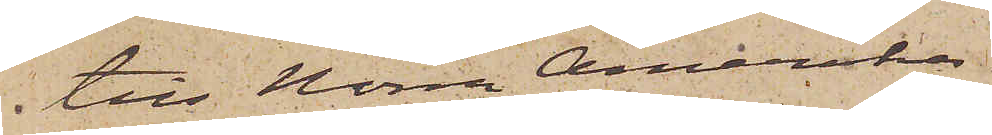till Norra Amerika.
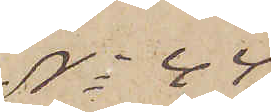No 44
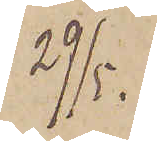29/5.
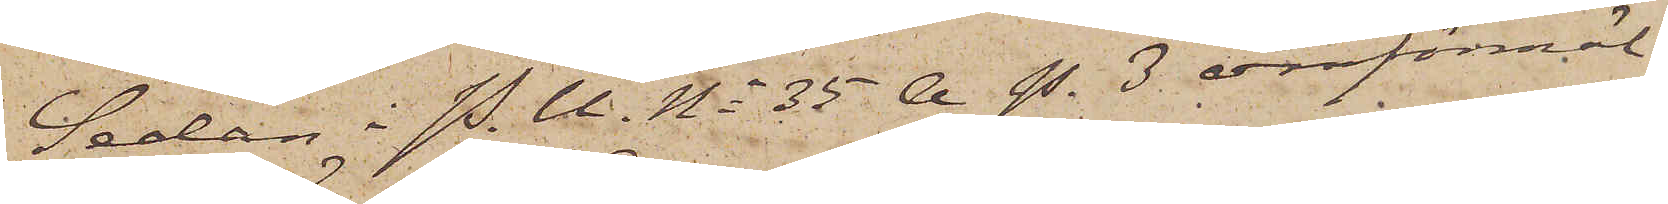Sedan i P.U. No 35 A. P. 3 omförmäl¬
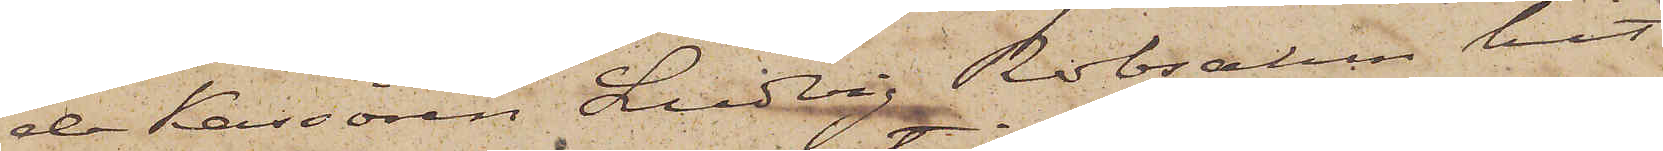de Kassören Ludvig Robsahm hit
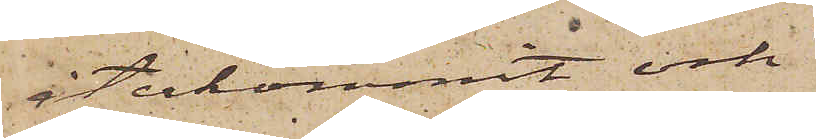återkommit och
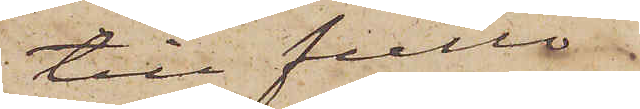till fullo
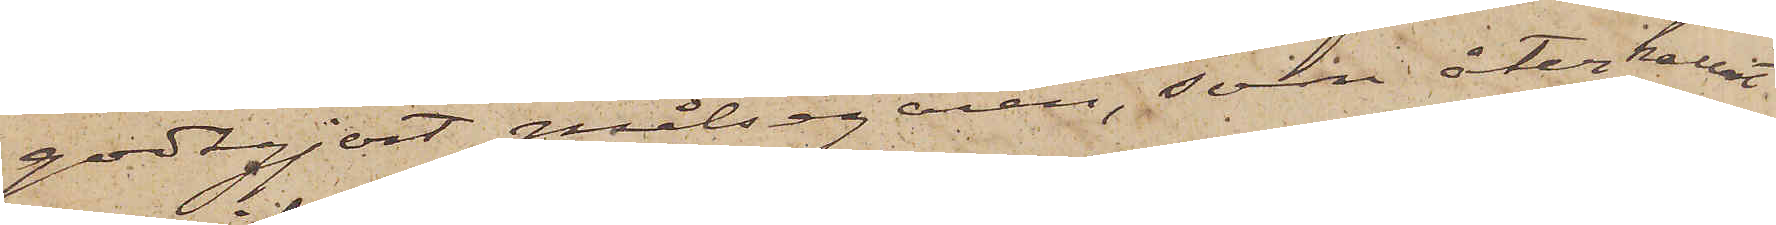godtgjort målsegaren, som återkallat
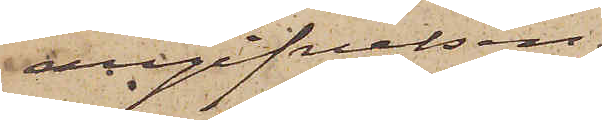angifvelsen,
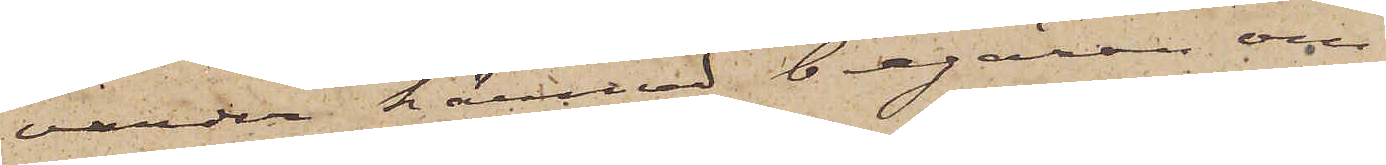varder härmed begäran om
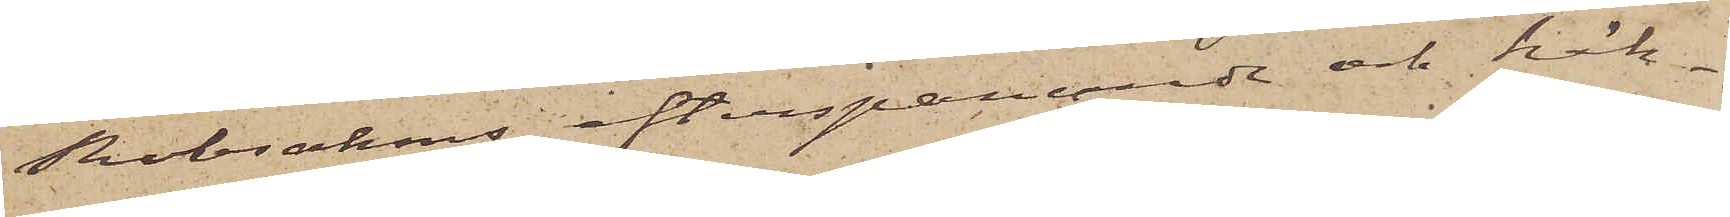Robsahms efterspanande och häk¬
